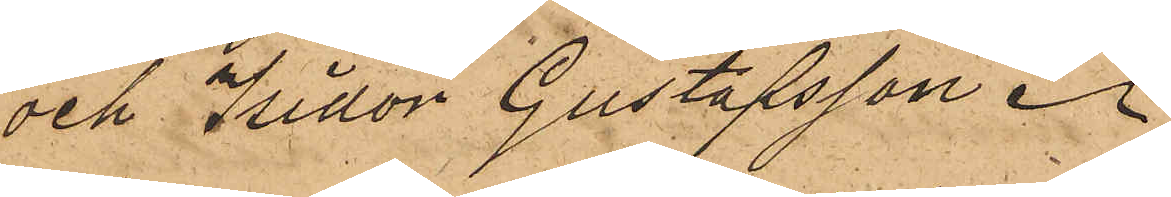och Isidor Gustafsson.
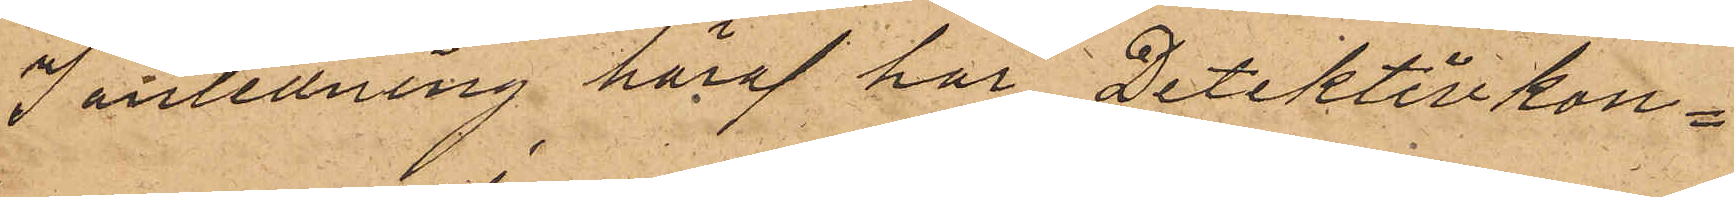I anledning häraf har Detektivkon¬
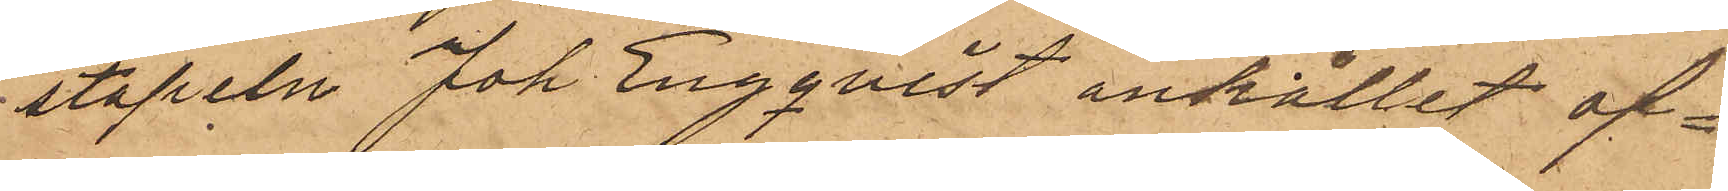stapeln Joh Engqvist anhållit of¬
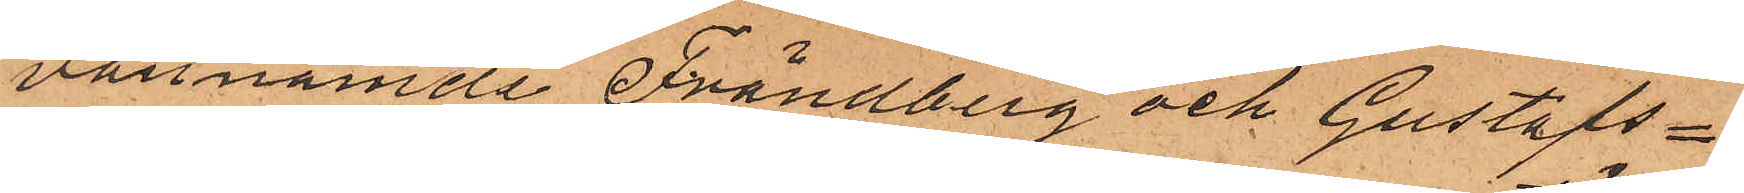vannämde Frändberg och Gustafs¬
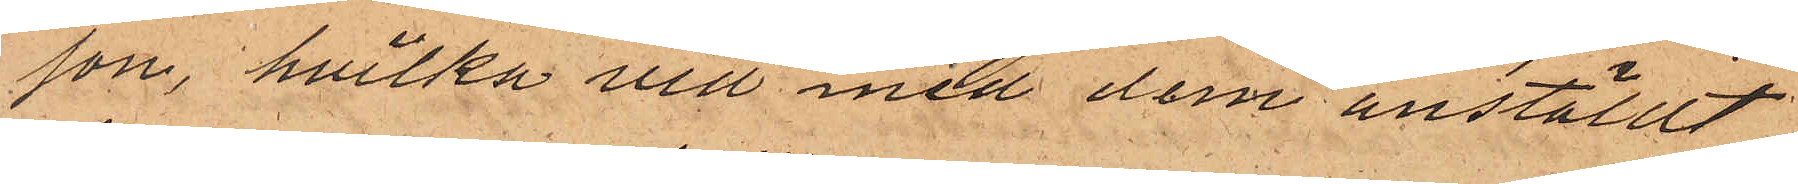son, hvilka vid med dem anställt
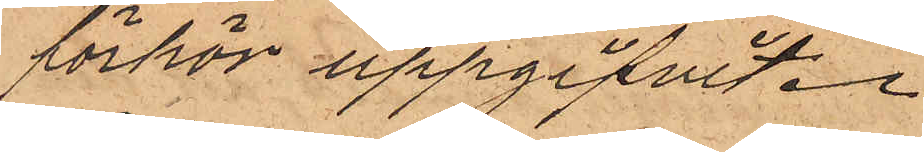förhör uppgifvit.
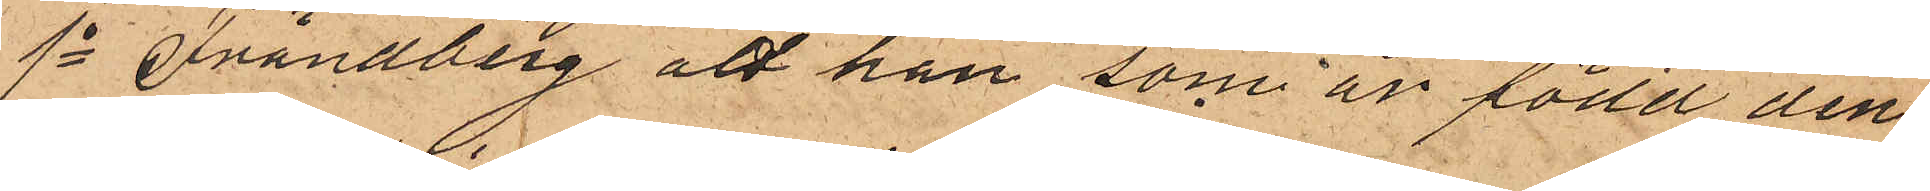1o Frändberg att han som är född den
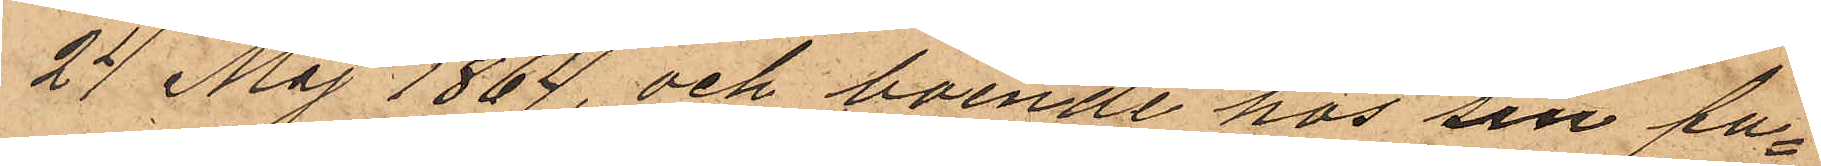24 Maj 1864 och boende hos sin fa¬
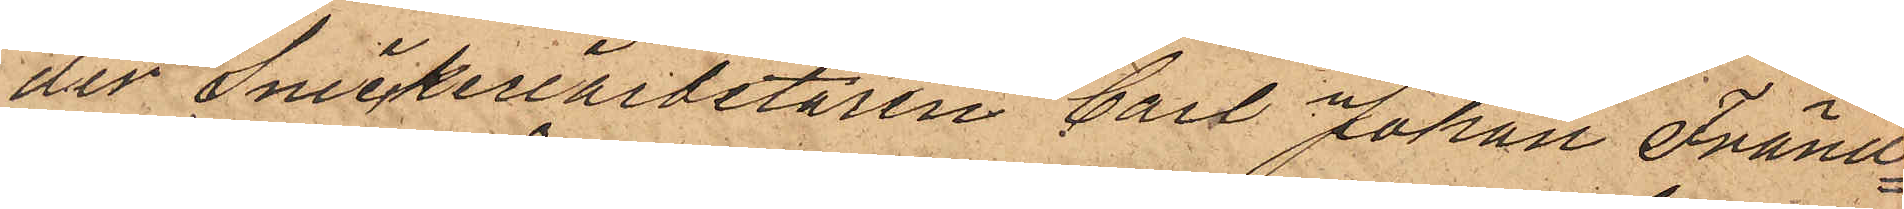der Snickeriarbetaren Carl Johan Fränd¬
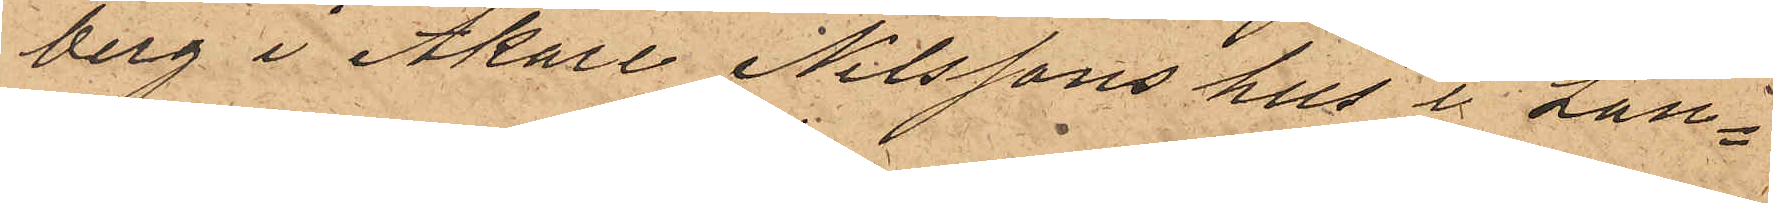berg i Åkare Nilssons hus i Lan¬
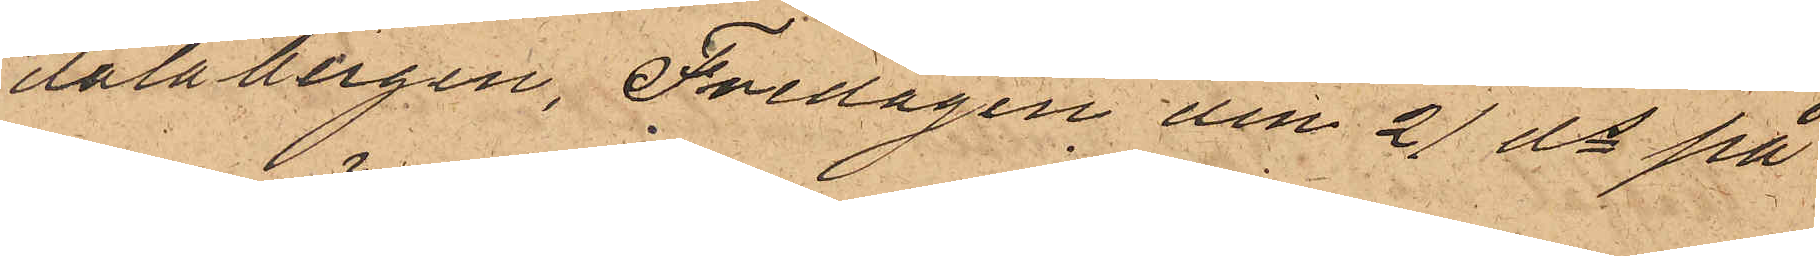dalabergen, Fredagen den 21 ds på
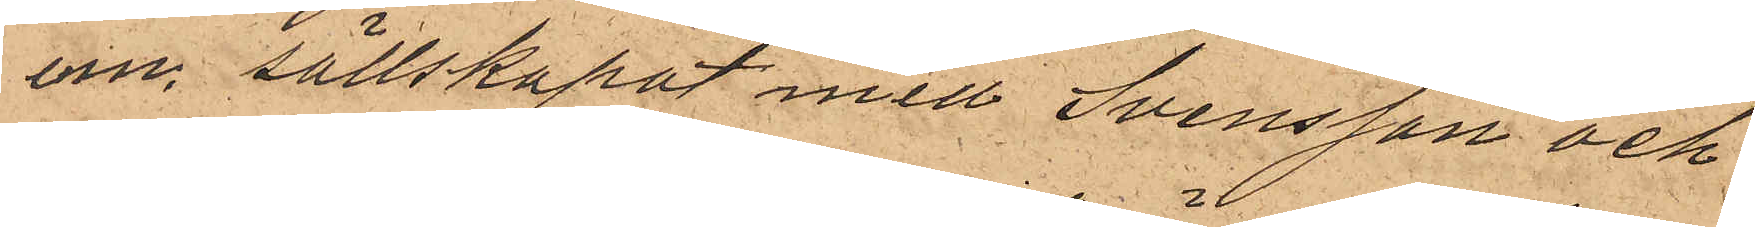em. sällskapat med Svensson och
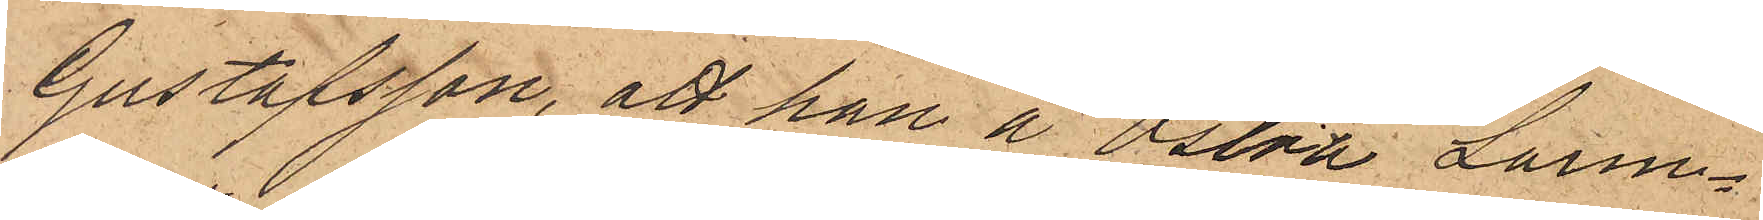Gustafsson, att han å Östra Larm¬
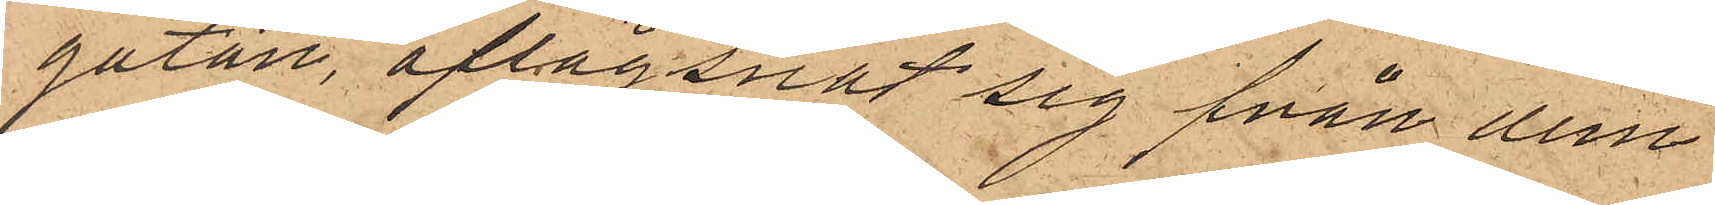gatan, aflägsnat sig från dem
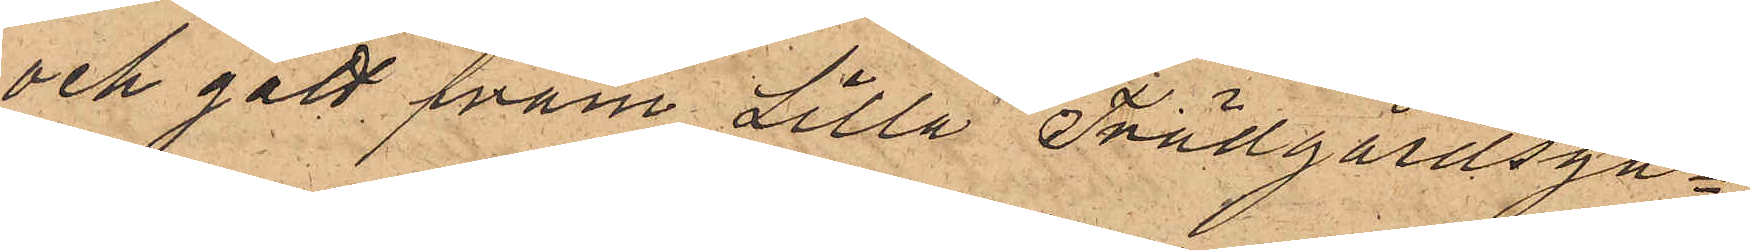och gått fram Lilla Trädgårdsga¬
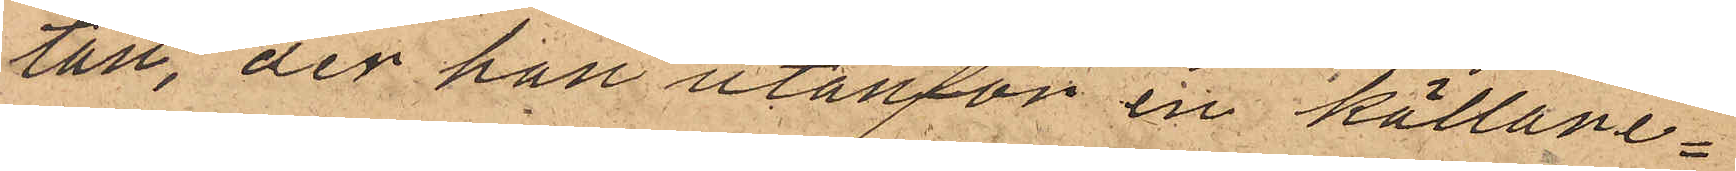tan, der han utanför en källare¬
